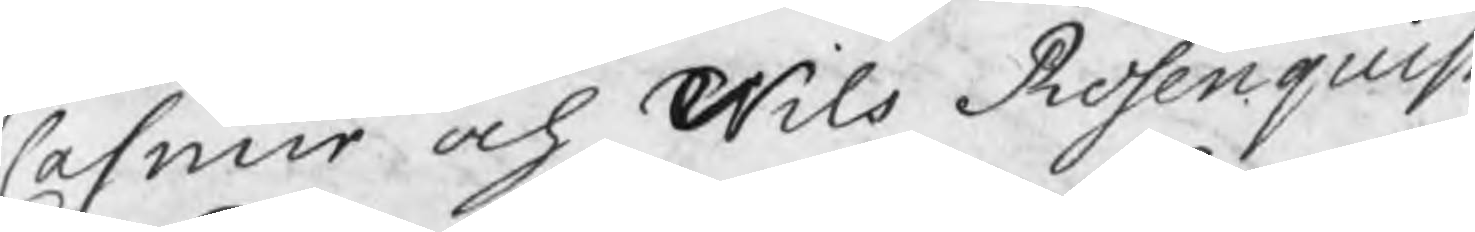Casmir och Nils Rosenquist
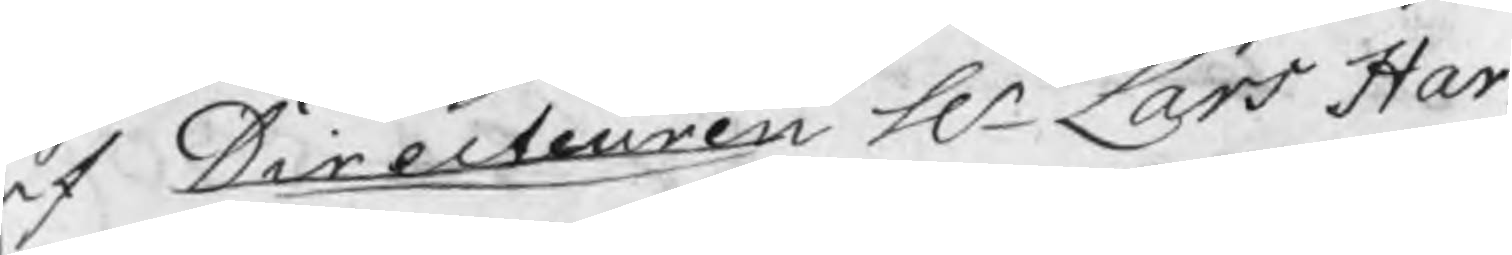af Directeuren Hr Lars Har¬
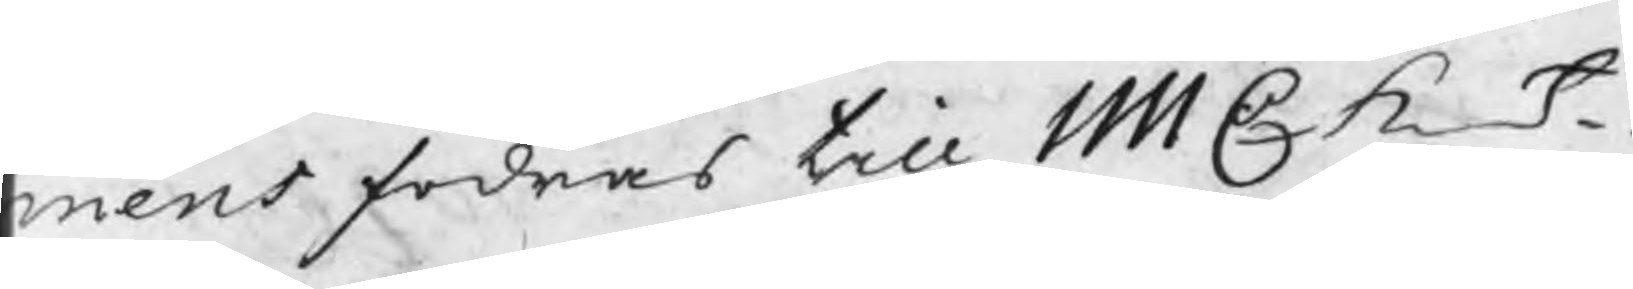mens fodras till 1111 C K_t
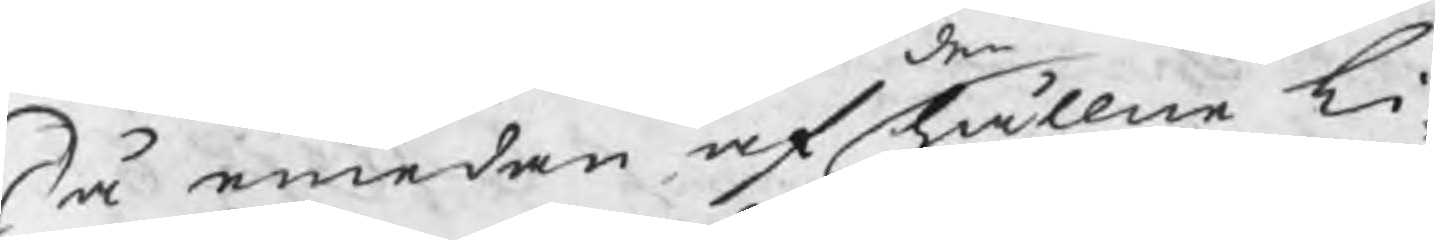Så emedan af hållne Li¬
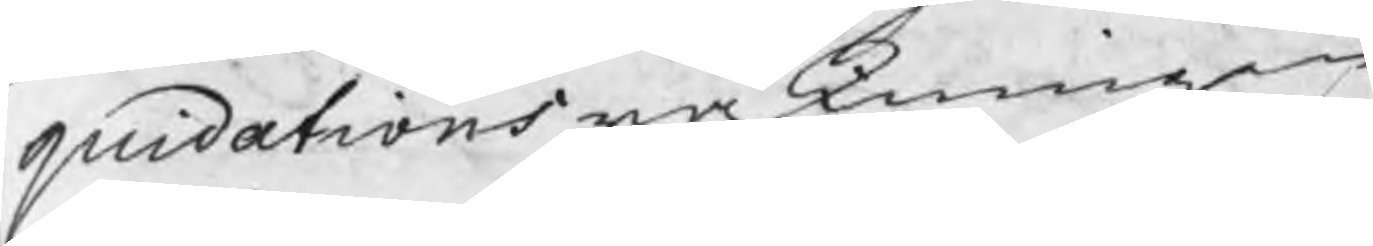quidations räkningen
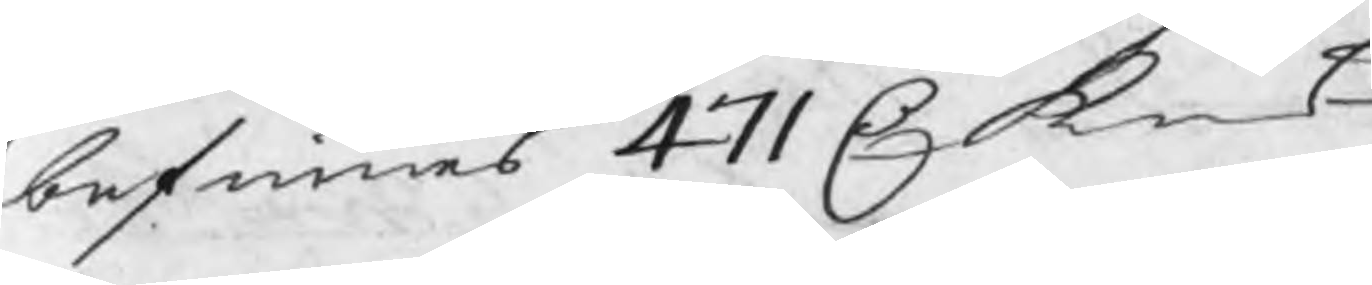befinnes 471 C k_t
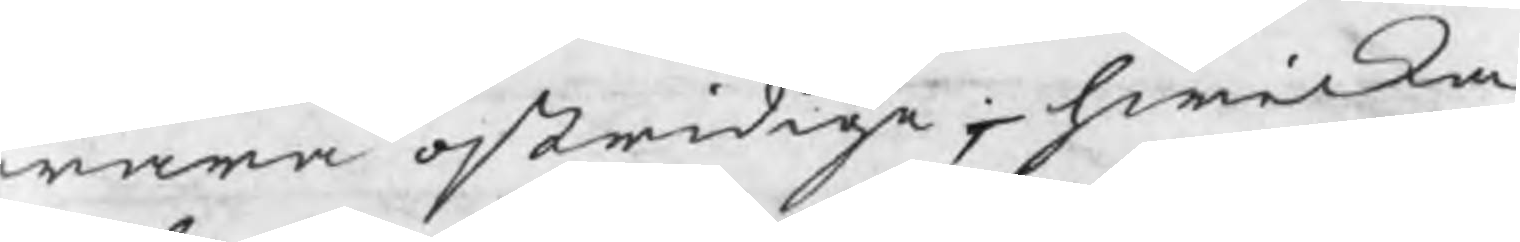wara ostridige, hwilka
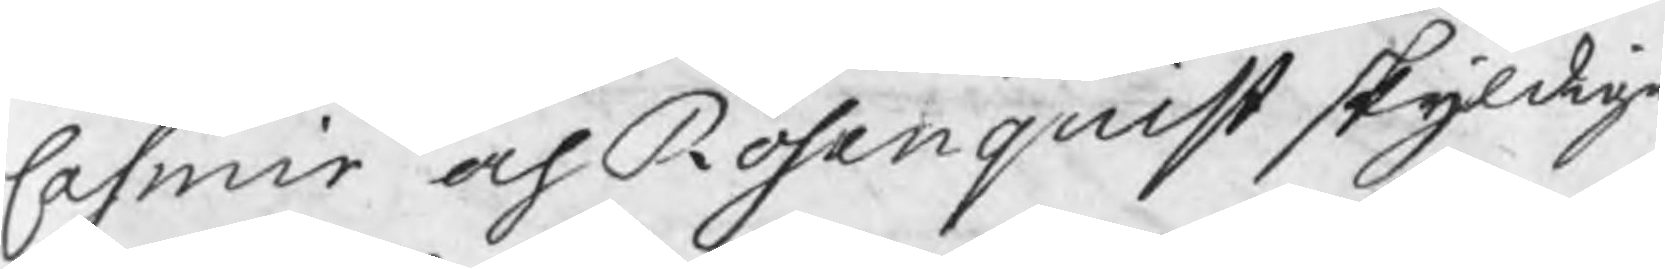Casmir och Rosenquist skyldige
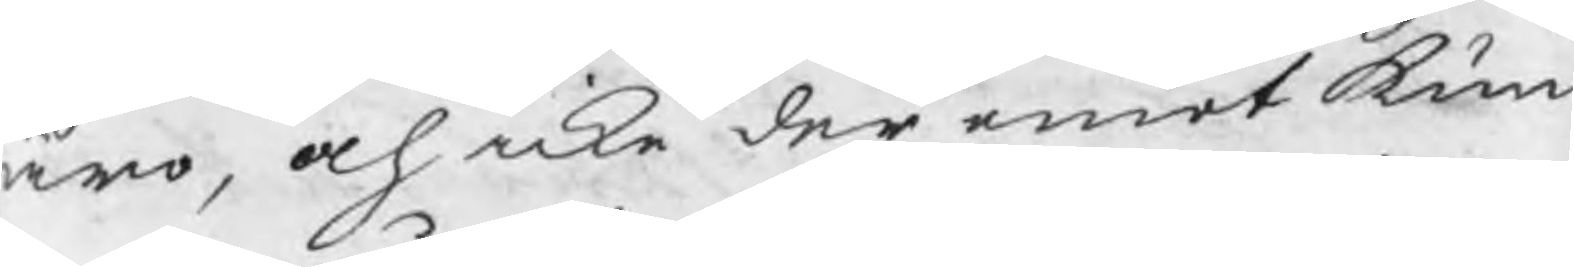äro, och icke der emot kun¬
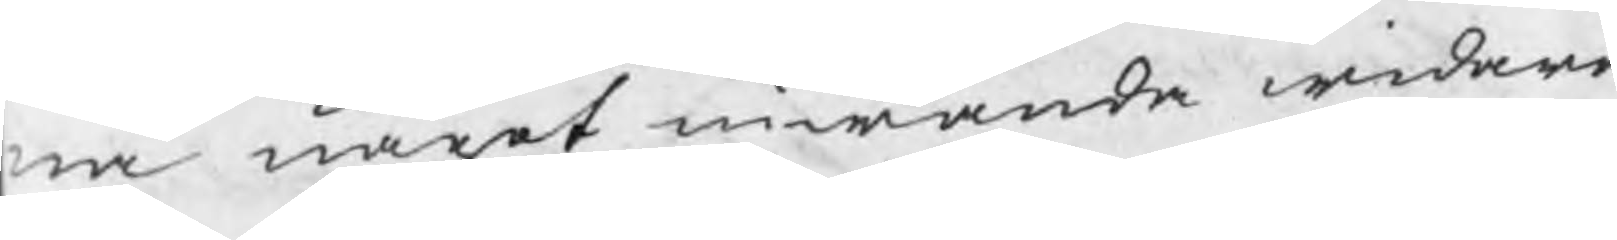na något inwända widare
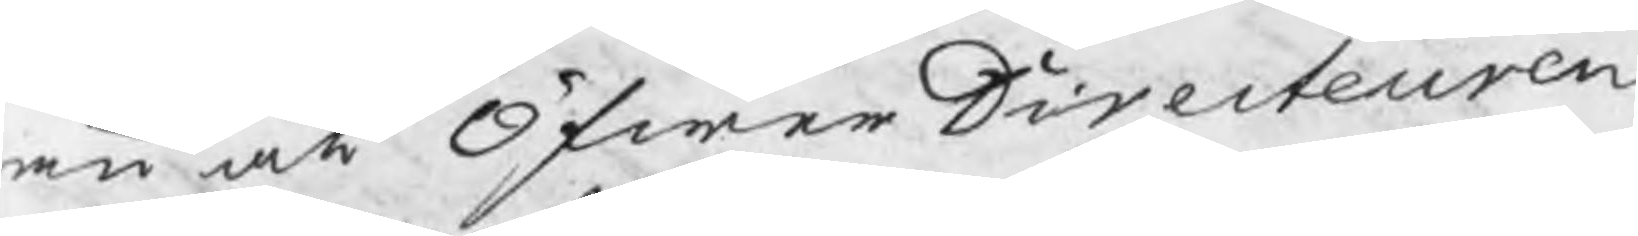än at Öfwer Directeuren
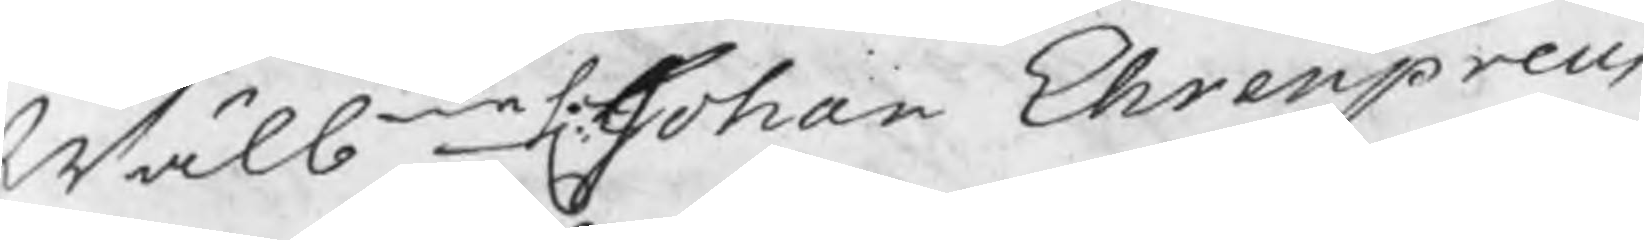Wälbne H Johan Ehrenpreus
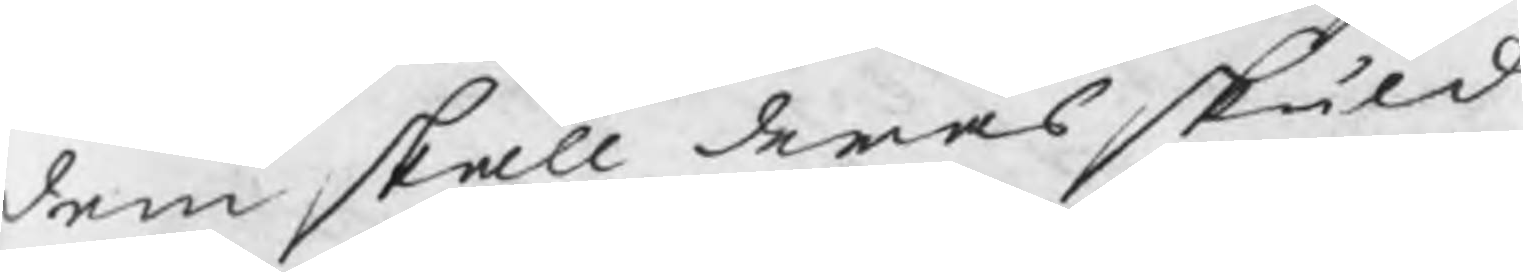dem skall deras skuld
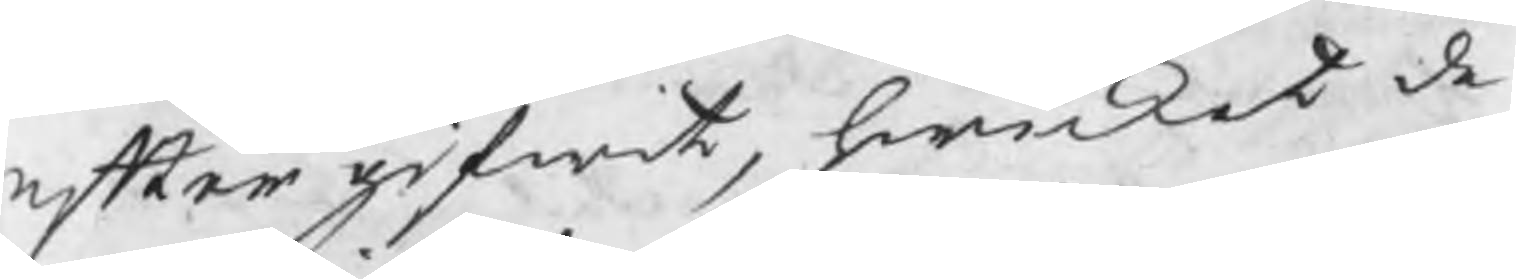efter gifwit, hwilket de
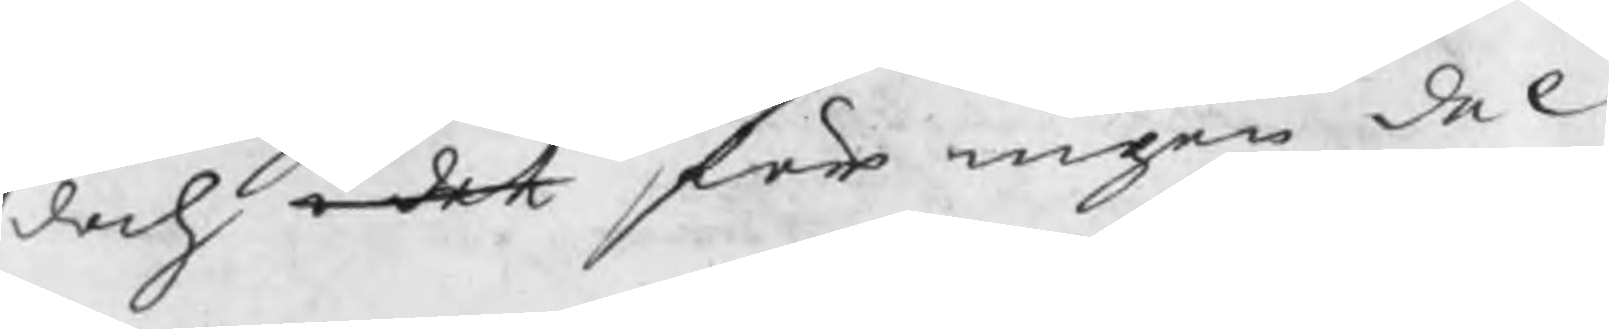doch i det för ingen del
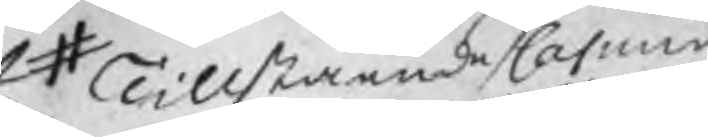# Tillstående Casmir
